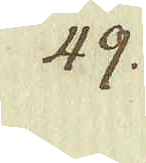49.
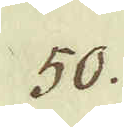50.
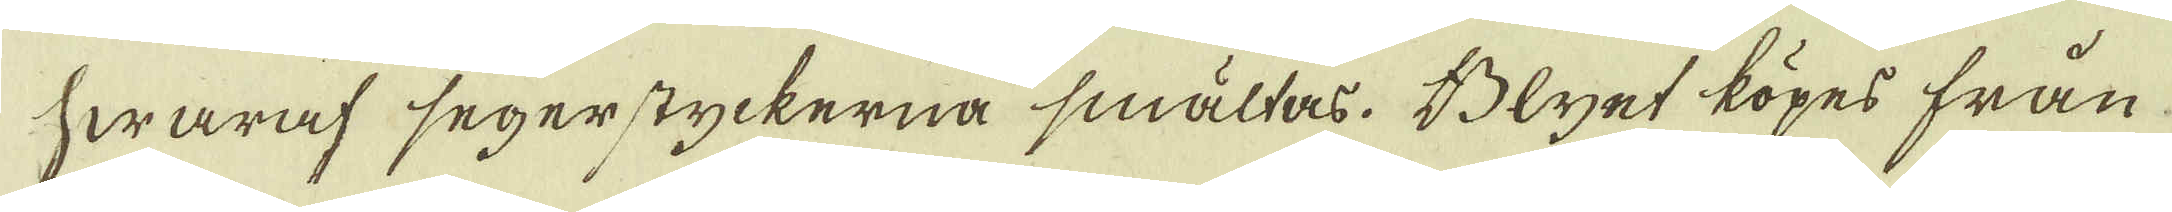hwaraf segerstyckerna smältas. Blyet köpes från
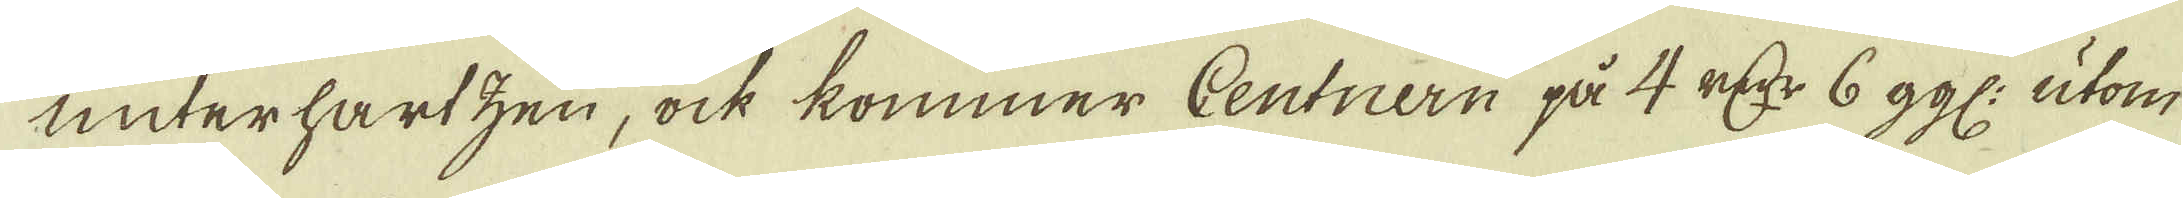underhartzen, ock kommer Centnern på 4 r:dr 6 ggl: utom
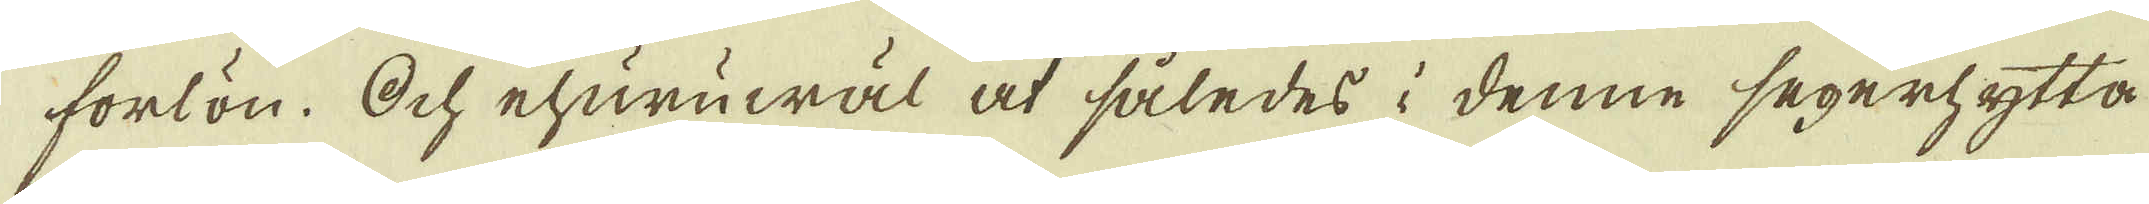forlön. Och ehuruwäl at således i denne segerhytta
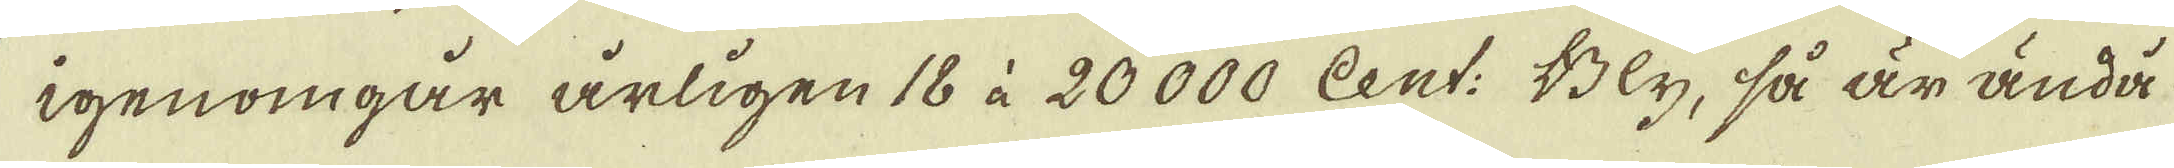igenomgår årligen 18 à 20000 Cent: Bly, så är ändå
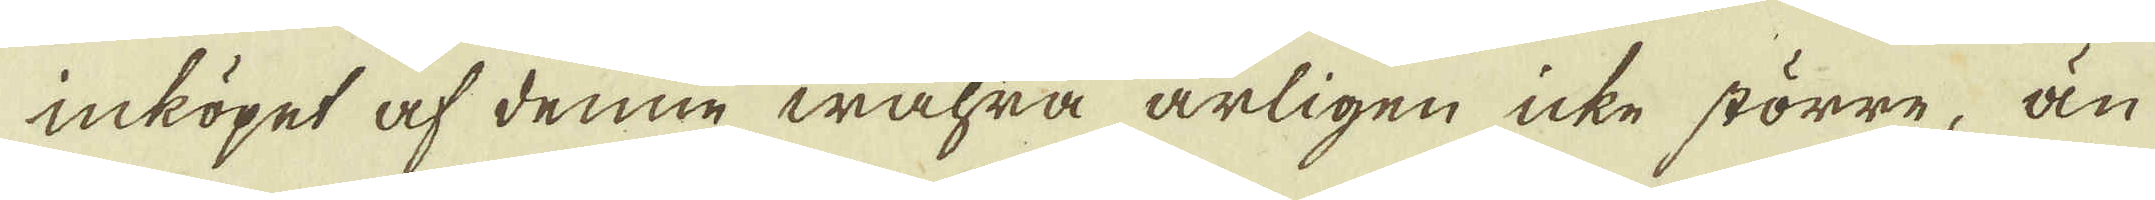inköpet af denne wahra årligen icke större, än
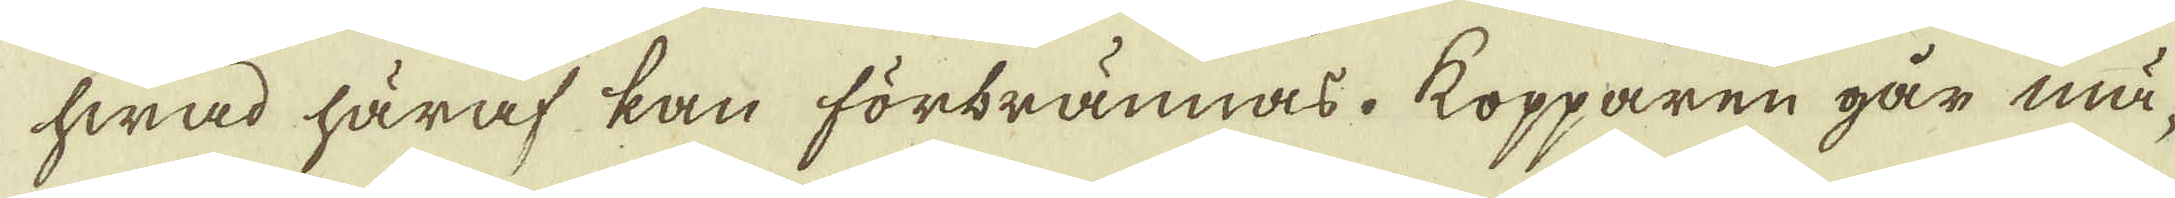hwad häraf kan förbrännas. Kopparen går mä-
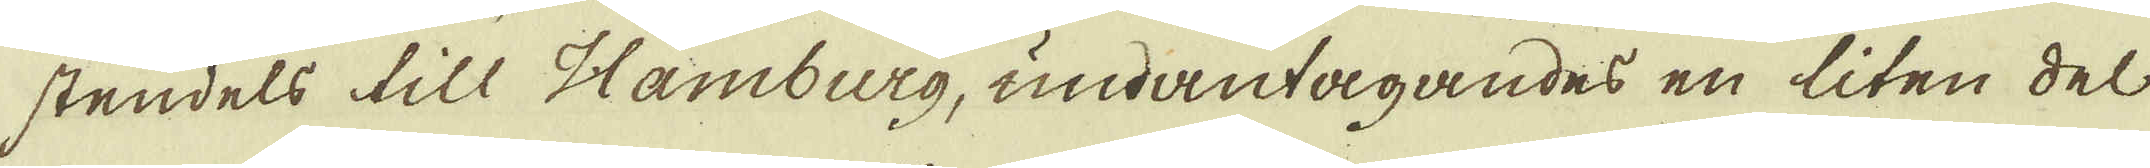stendels till Hamburg, undantagandes en liten del
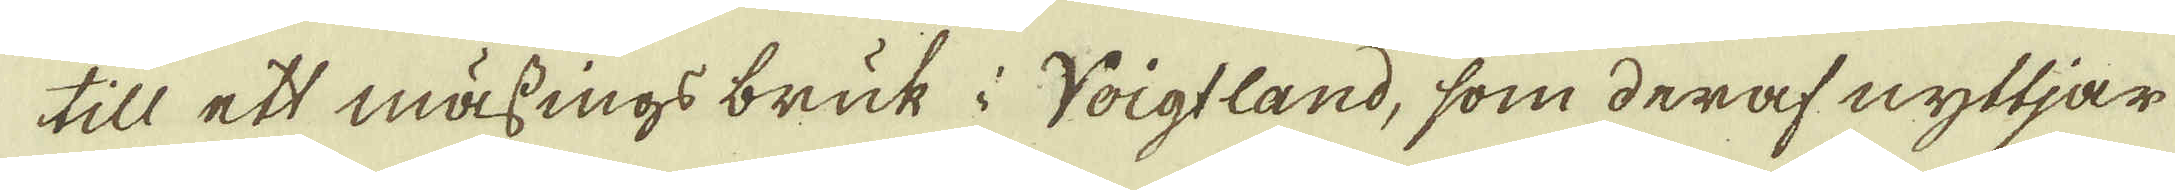till ett mässings bruk i Voigtland, som deraf nyttjar
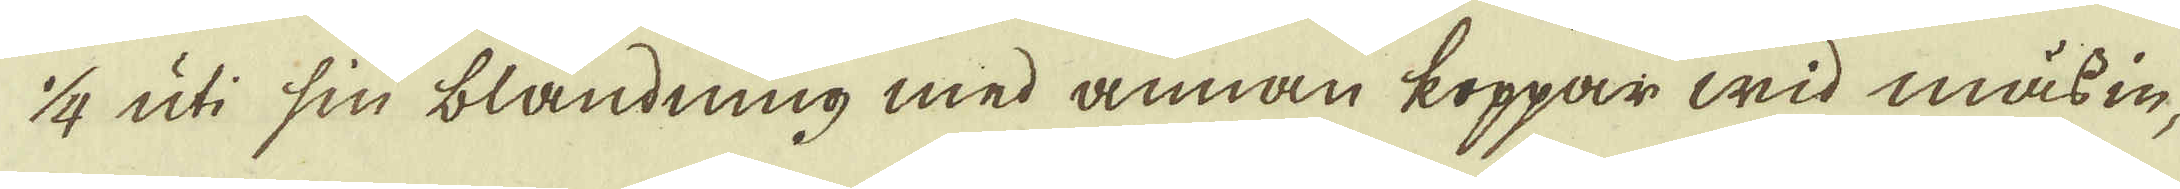1/4 uti sin blandning med annan koppar wid mässin-
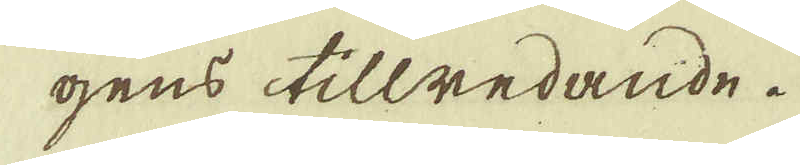gens tillredande.
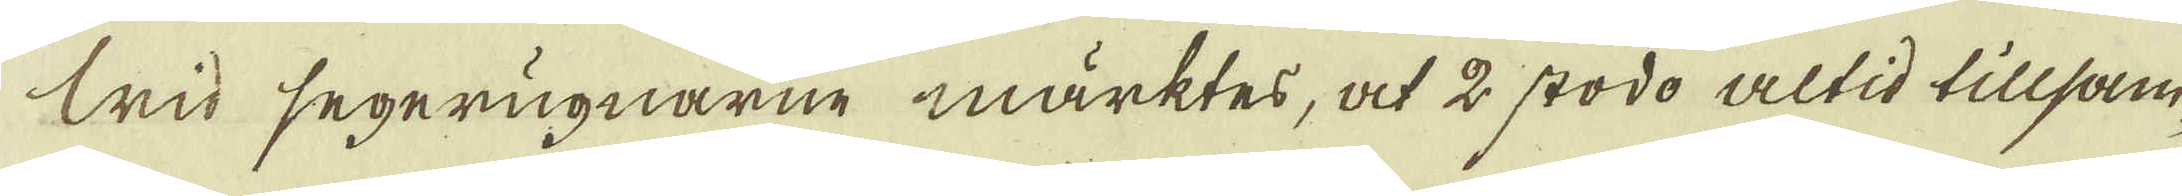Wid segerugnarne märktes, at 2 stodo altid tillsam-
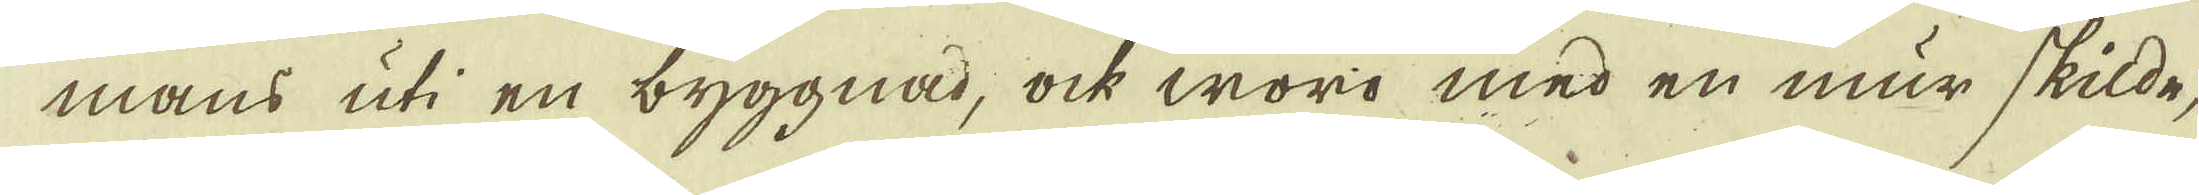mans uti en byggnad, ock woro med en mur skilde,
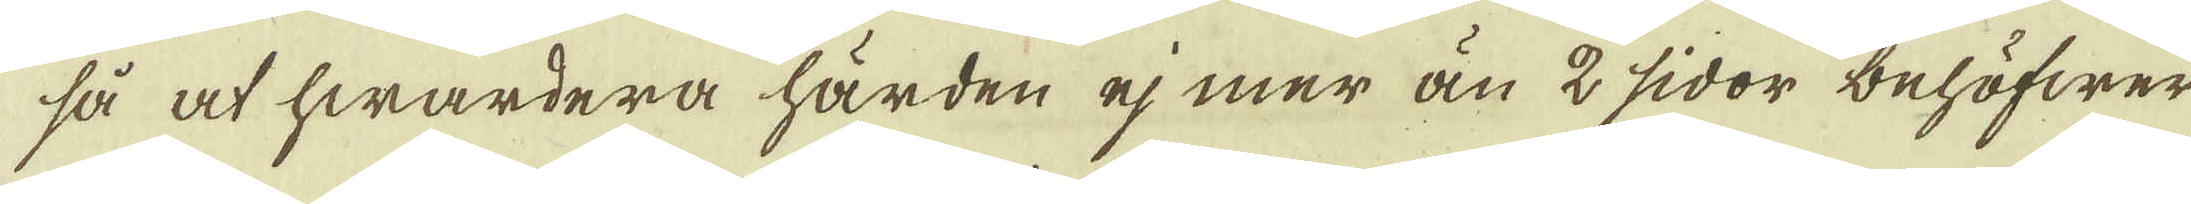så at hwardera härden ej mer än 2 sidor behöfwer
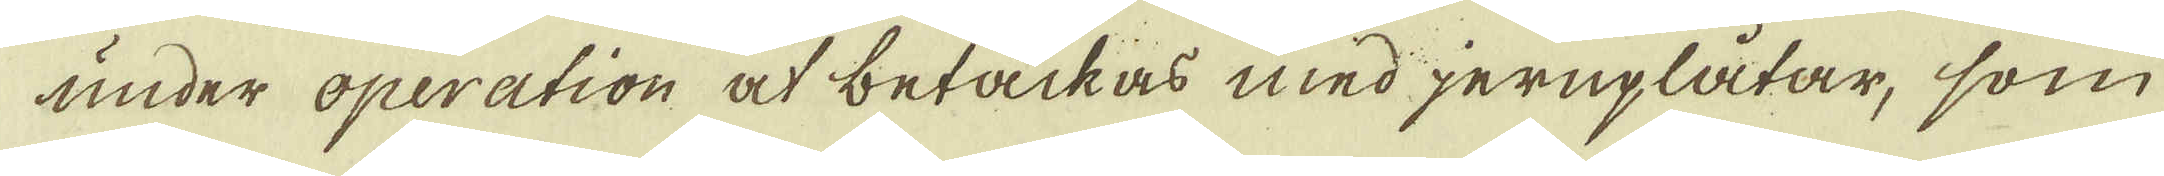under operation at betäckas med jernplåtar, som
